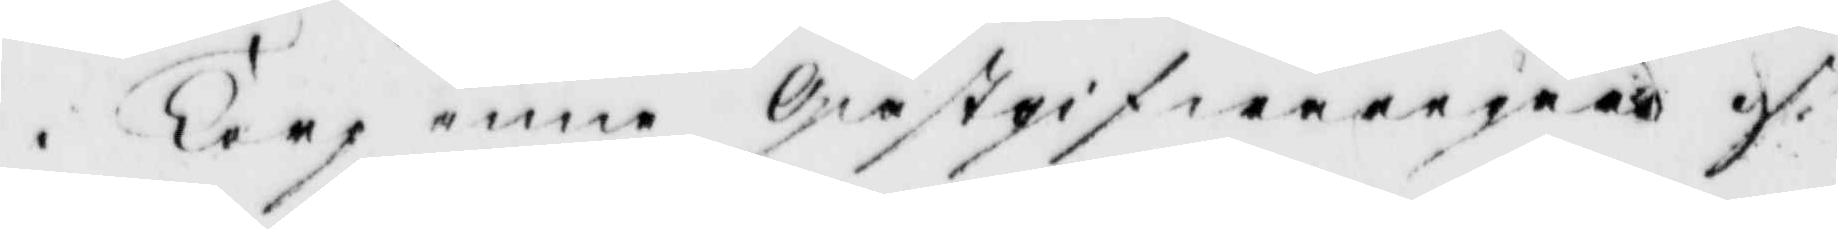i Torpenna Gästgifwaregård d
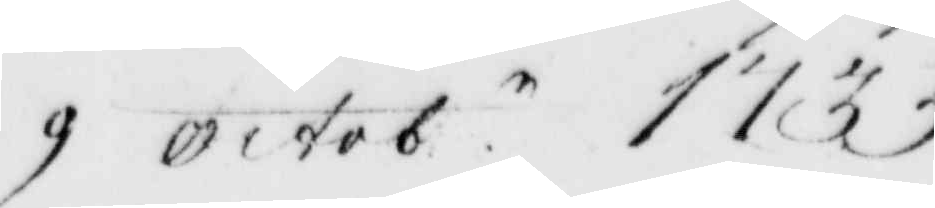9 octob.r 1733
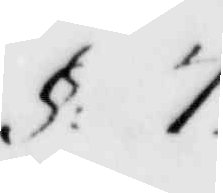§: 7
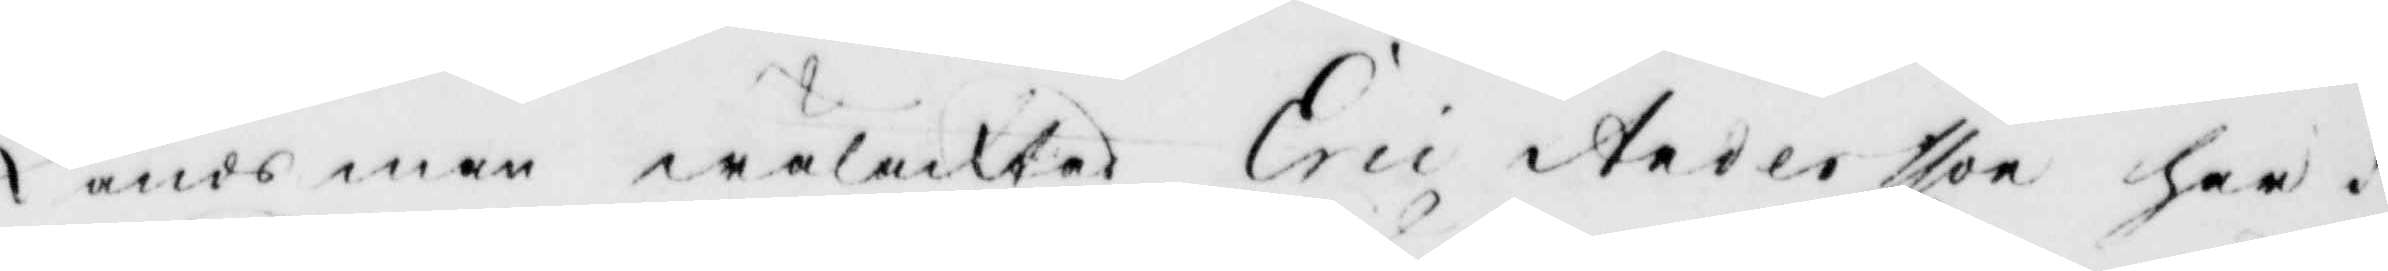Ländsman wälacktad Eric Andersson haar i
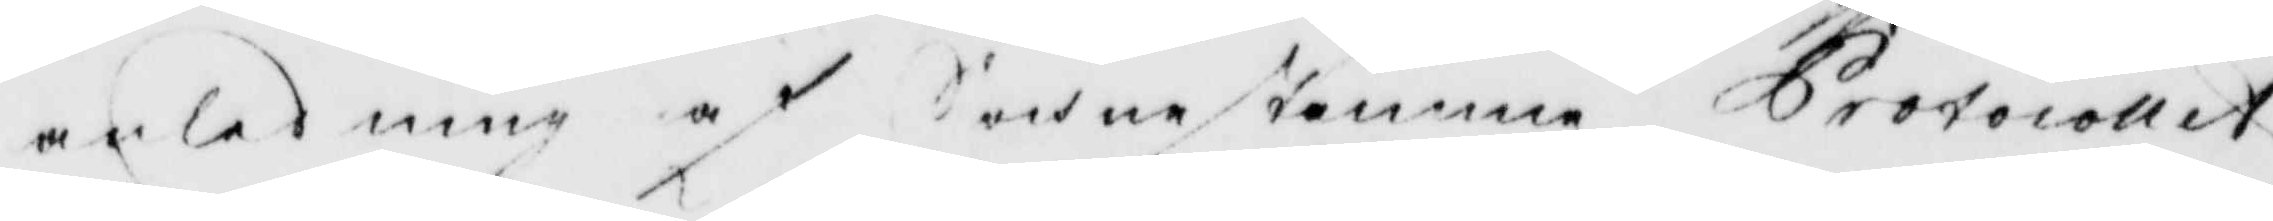anledning af Sochnestämma Protocollet
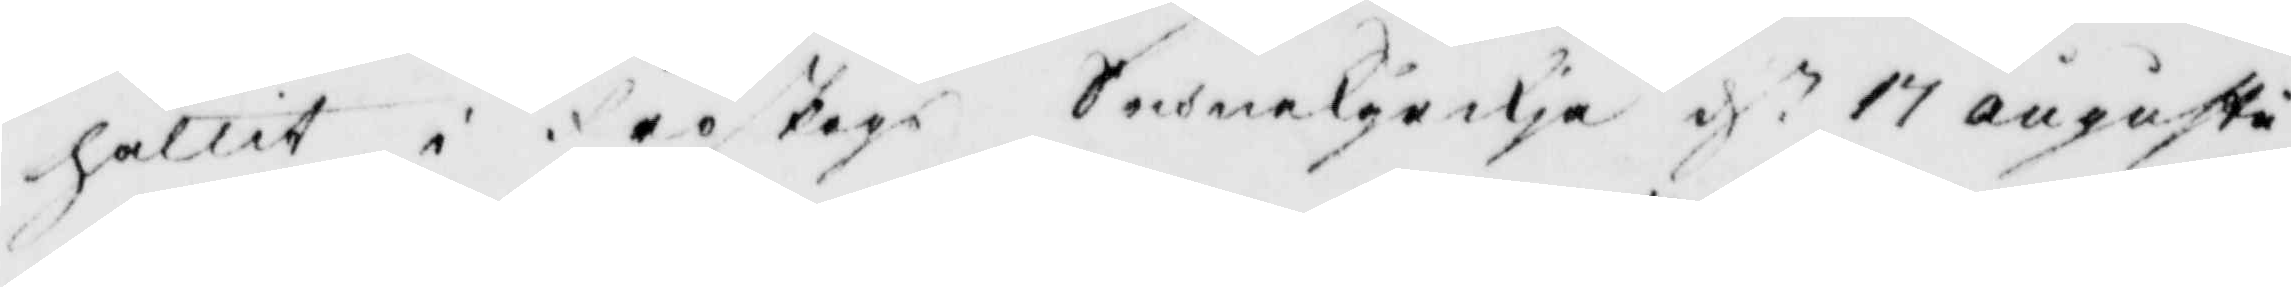hållit i Fröskogs Sochnekyrkia d.n 17 augusti
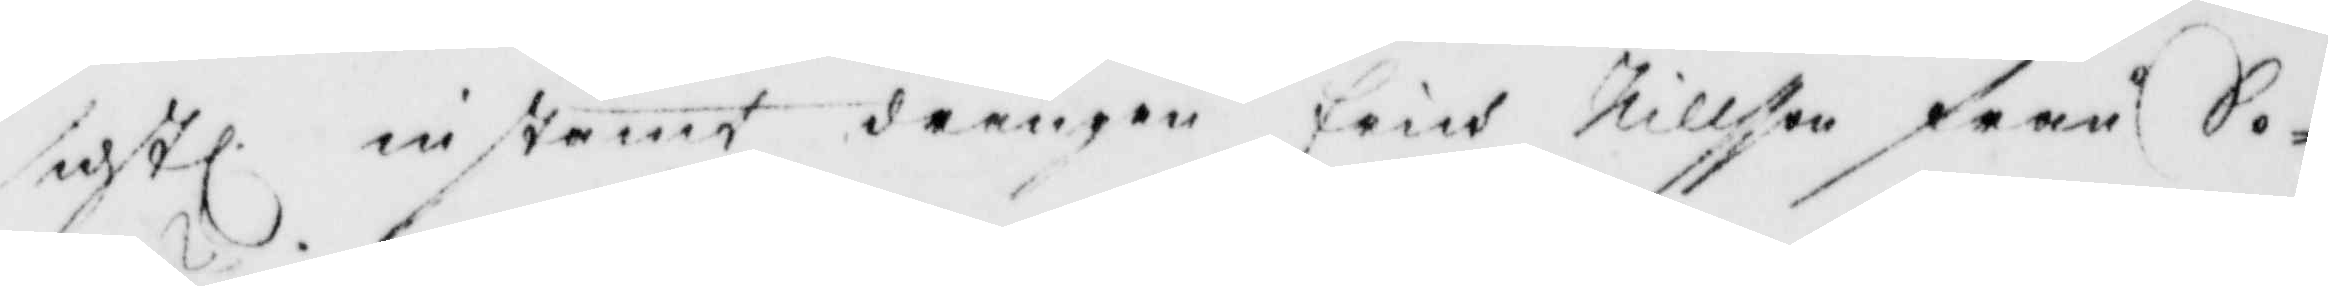sidstl. instämt drängen Erich Nillsson från So¬
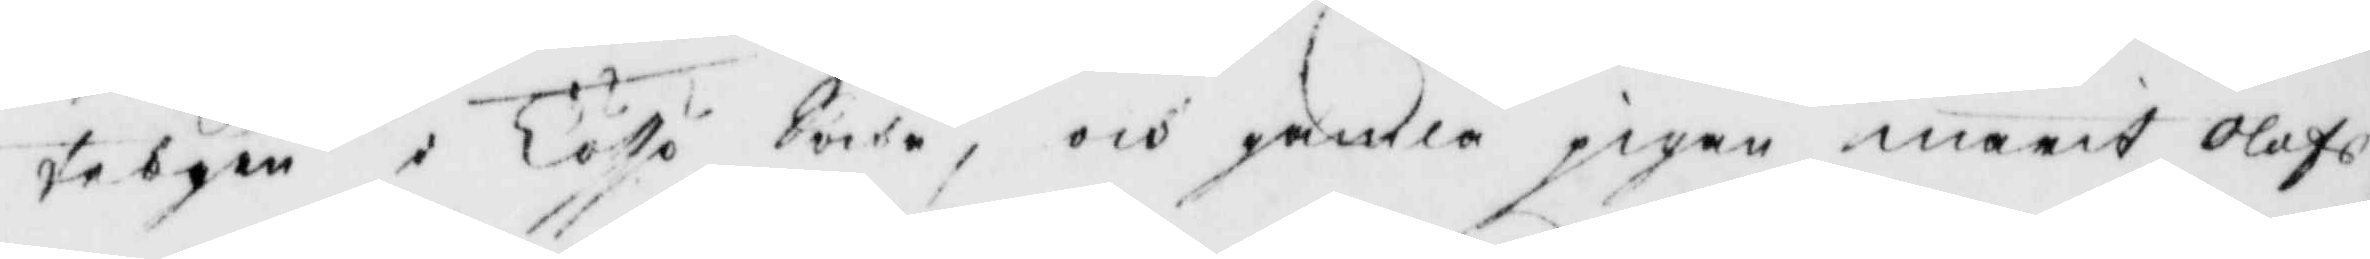tebyen i Tösse Sochn, och gamla pigan marit Olofs¬
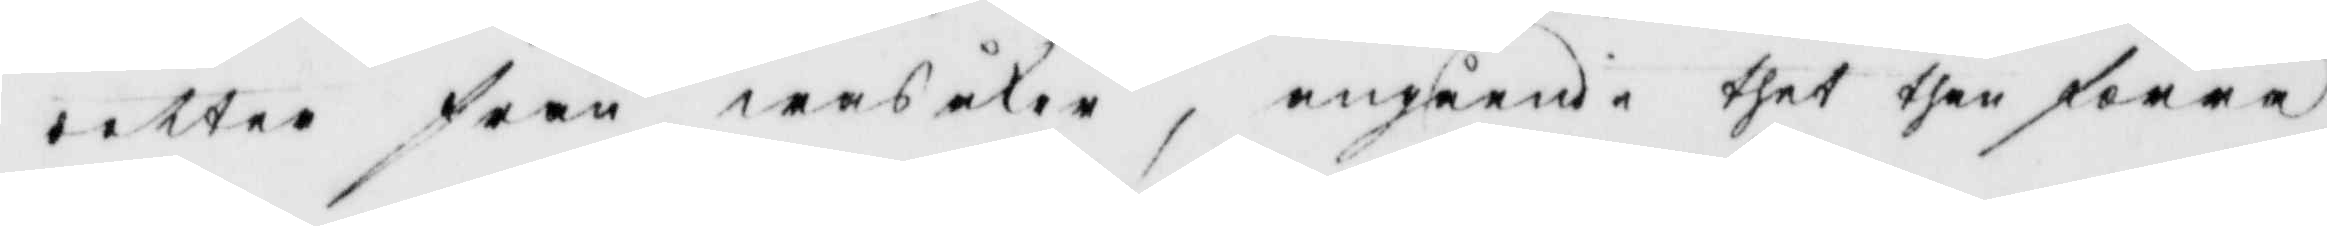dotter från wasåker; angående thet then förra
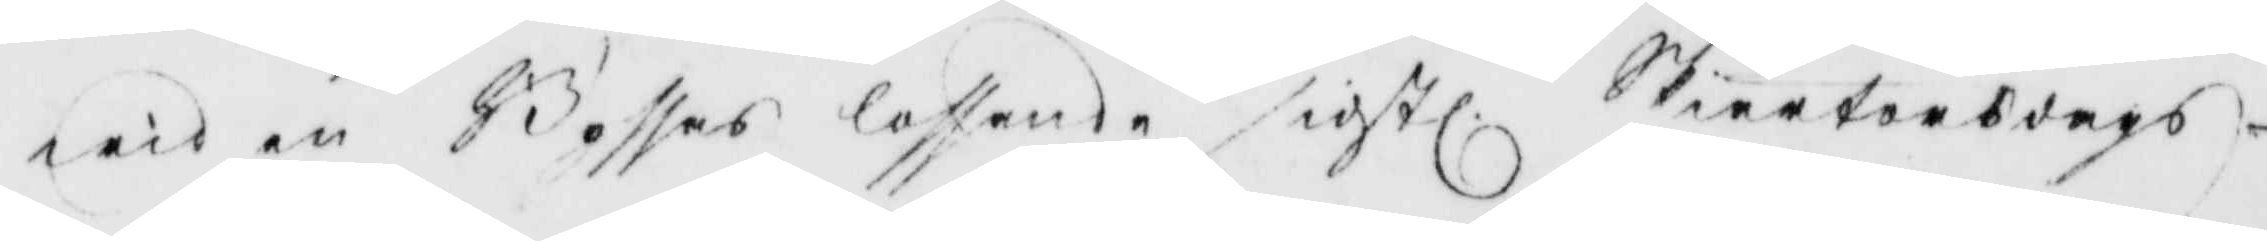wid en Bössas loffande sidstl. Skiärtorsdags¬
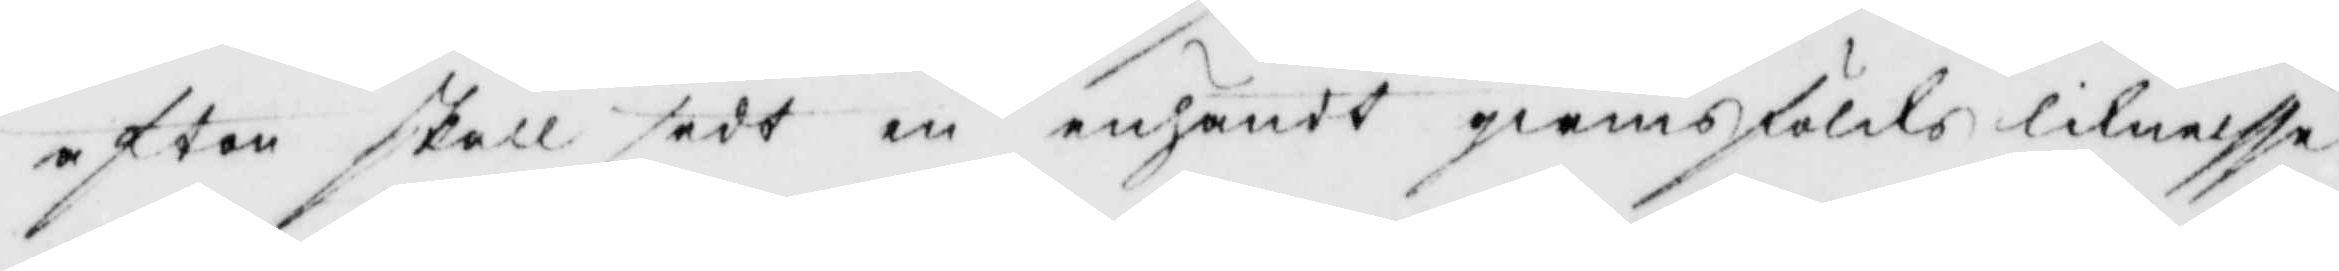afton skall sedt en enhändt qwinsfålks liknelsse
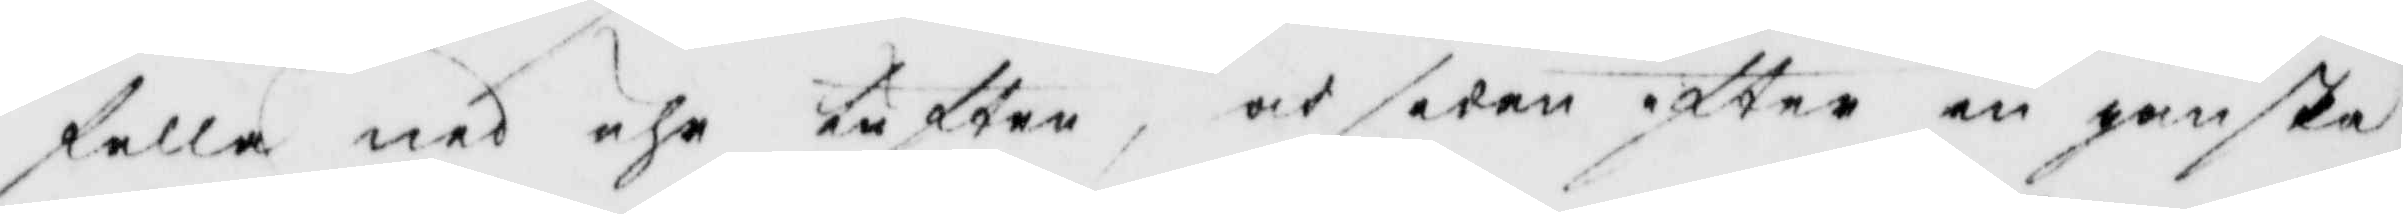falla ned uhr luften, och sedan efter en ganska
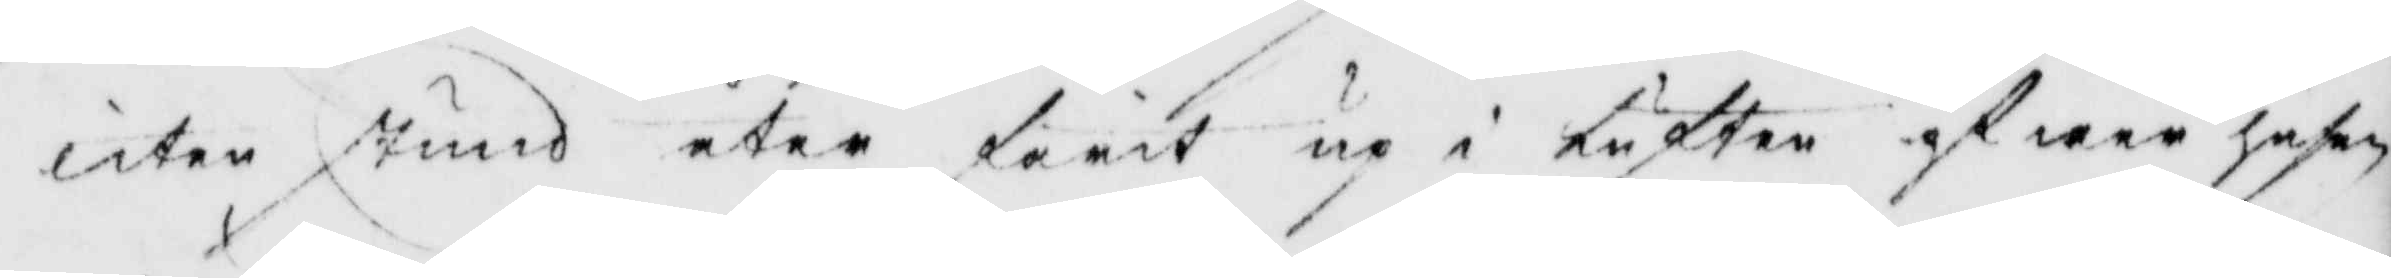liten stund åter farit up i luften öfwer hufen
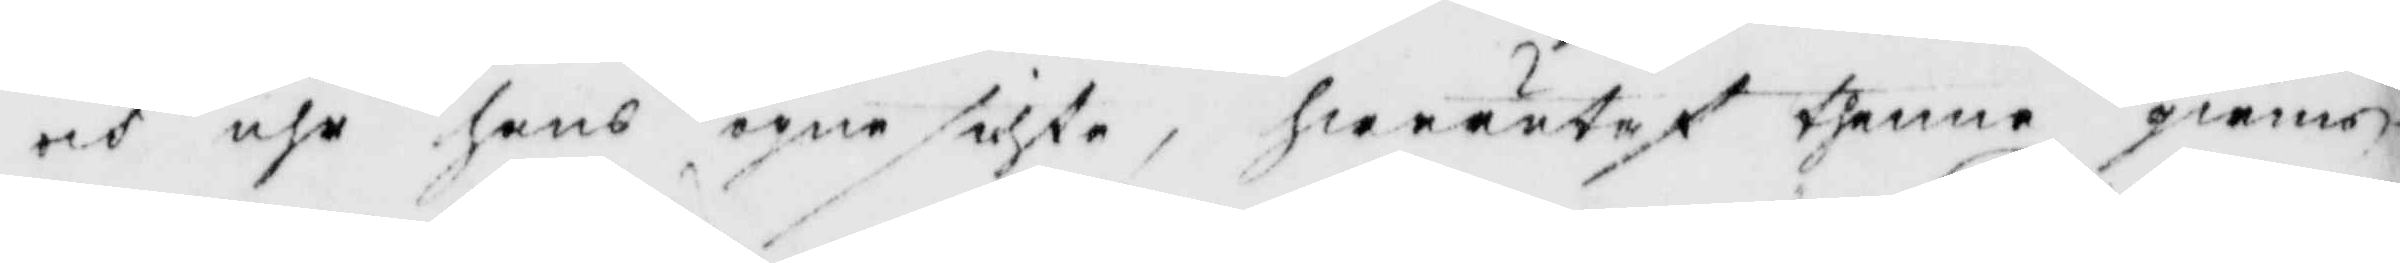och uhr hans ögne sikte, hwarutaf thenne qwinns¬
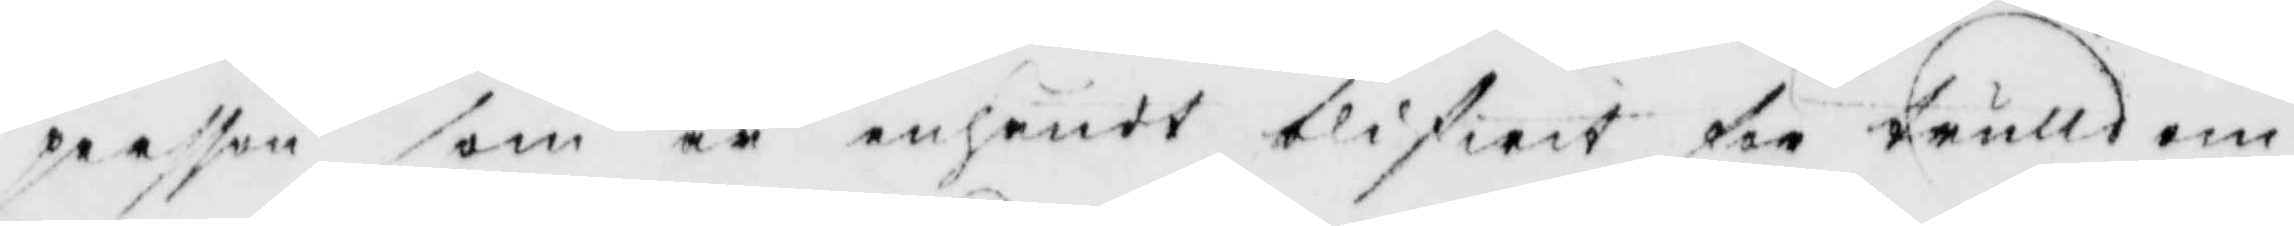persson som är enhändt blifwit för trulldom
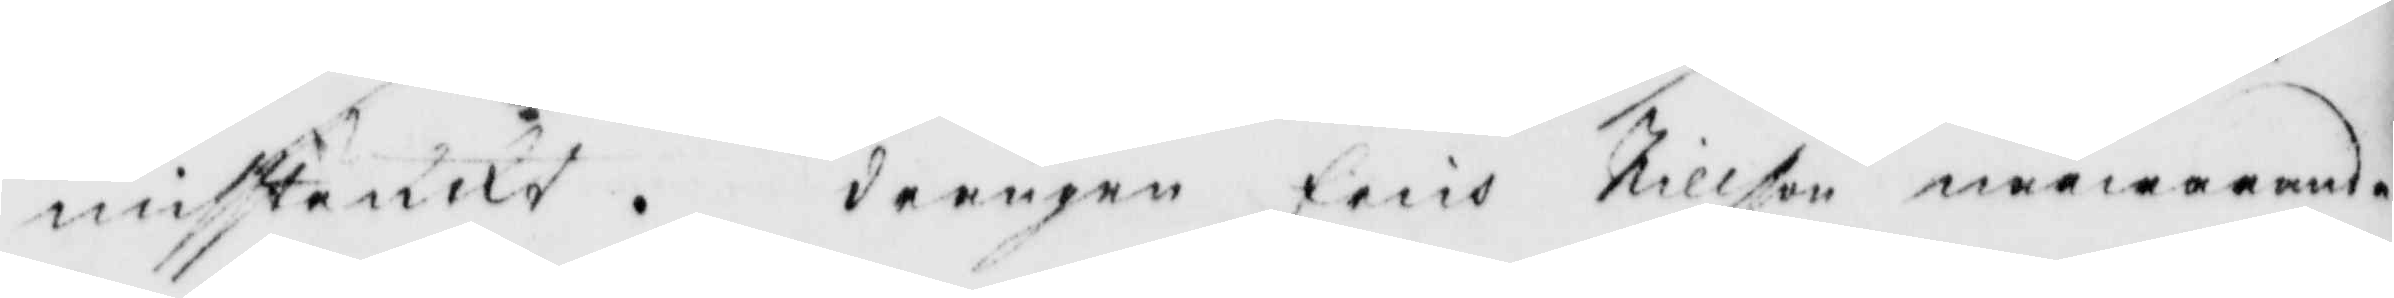misstänkt. drängen Erich Nillson närwarande
